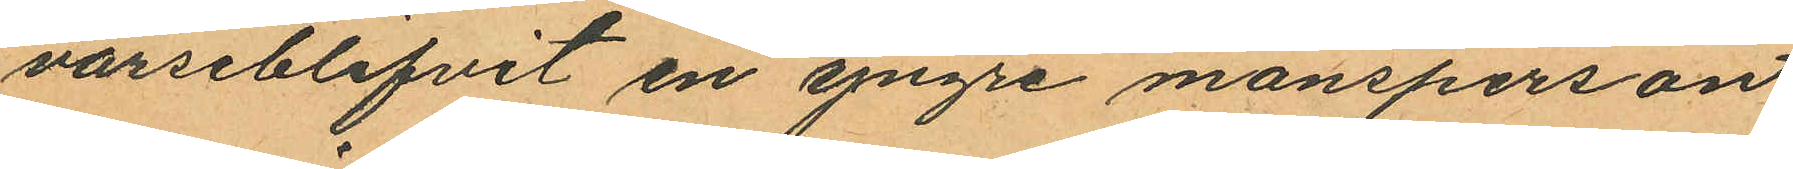varseblifvit en yngre mansperson
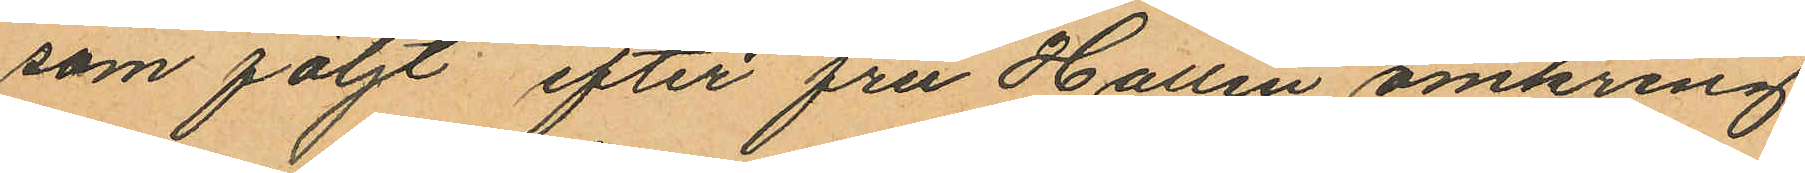som följt efter fru Hallin omkring
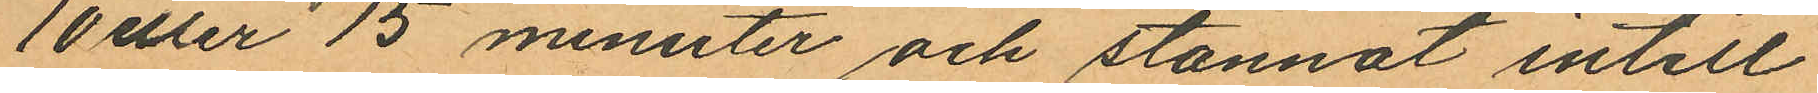10 eller 15 minuter och stannat intill
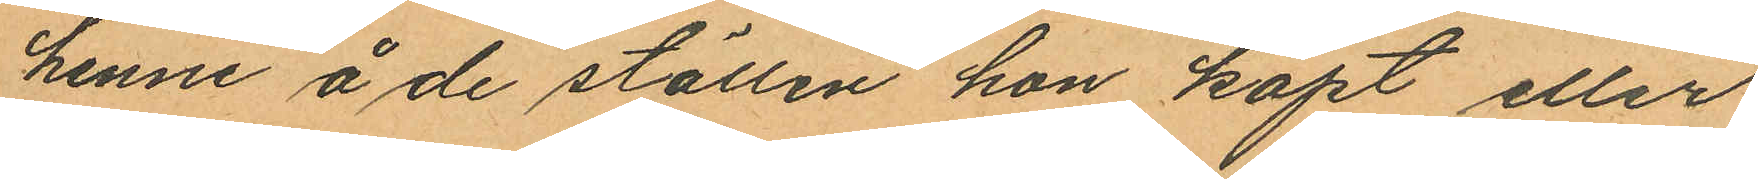henne å de ställen hon köpt eller
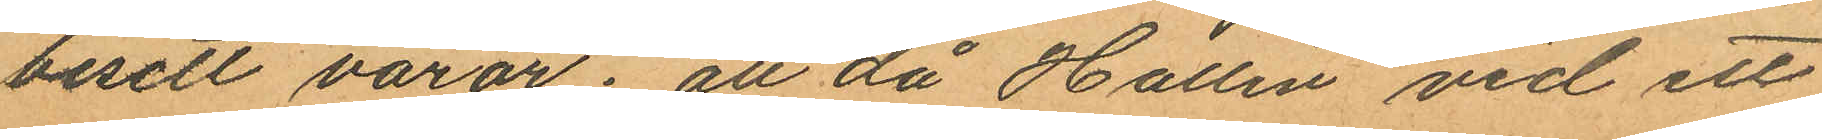besett varor; att då Hallin vid ett
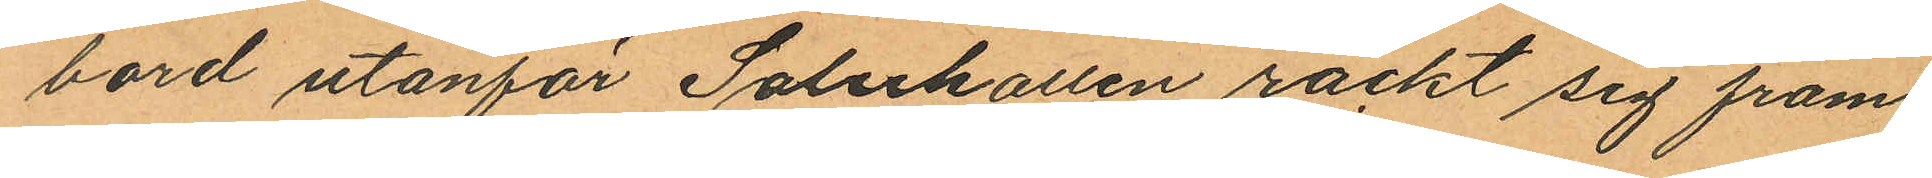bord utanför Saluhallen räckt sig fram
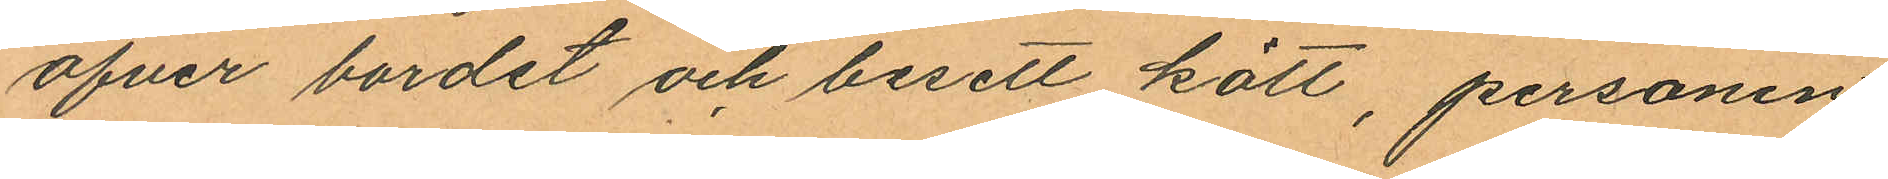öfver bordet och besett kött, personen
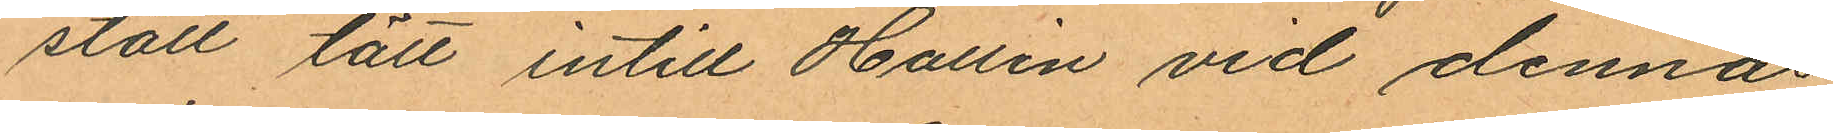stått tätt intill Hallin vid dennas
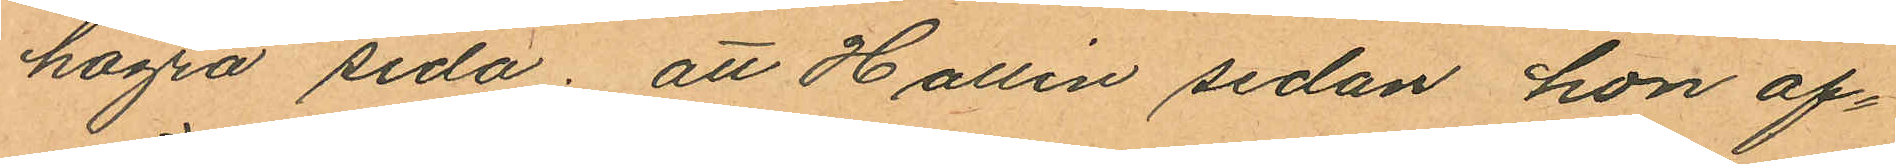högra sida; att Hallin sedan hon af¬
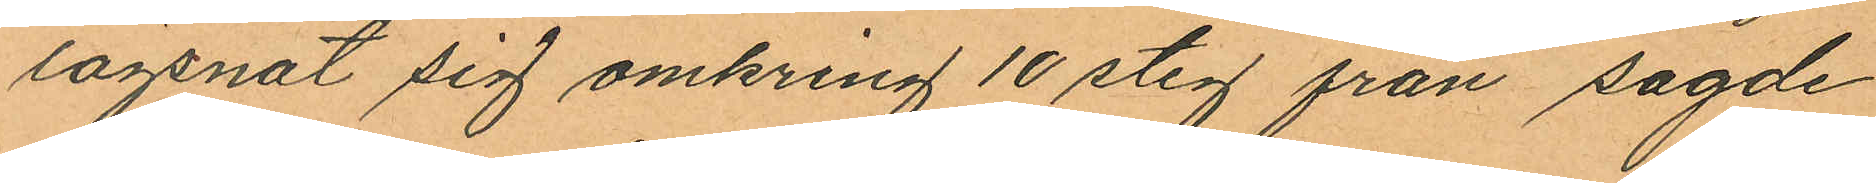lägsnat sig omkring 10 steg från sagde
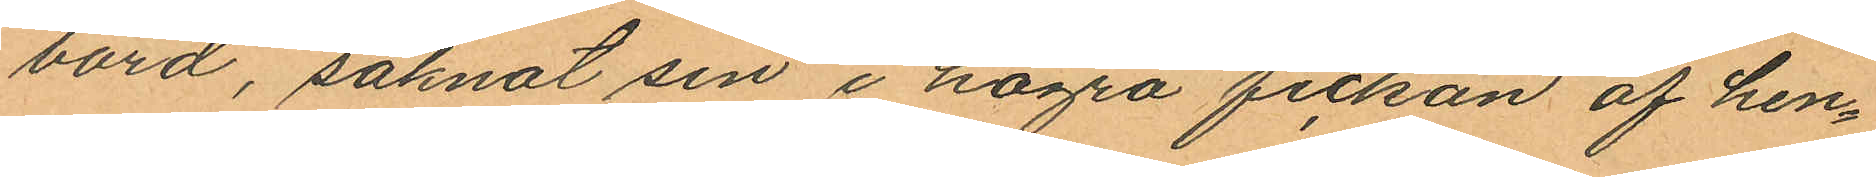bord, saknat sin i högra fickan af hen¬
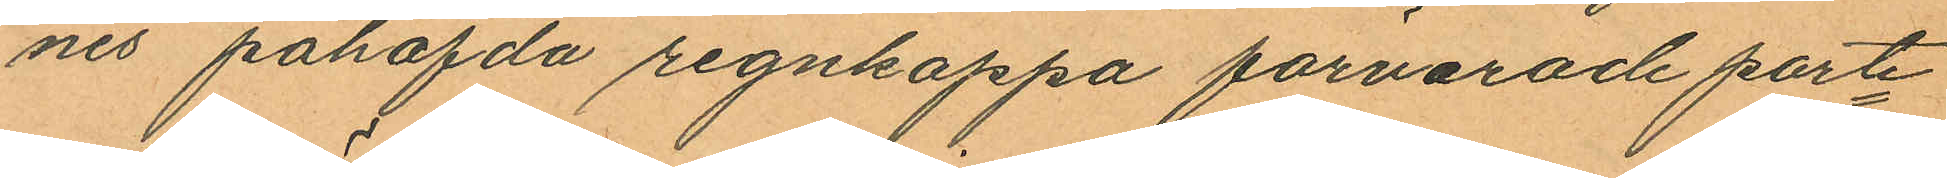nes påhafda regnkappa förvarade porte¬
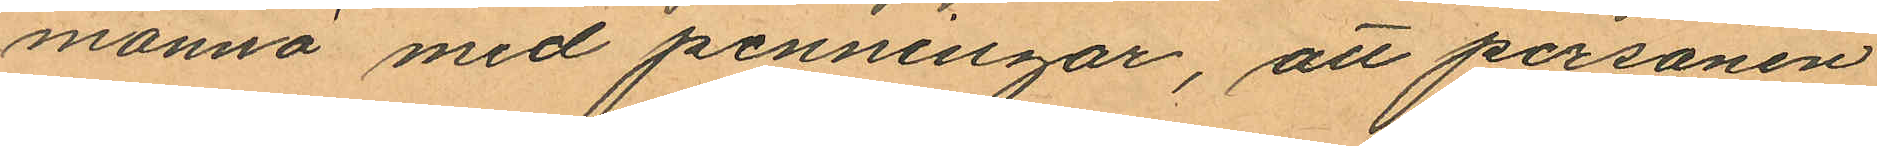monnä med penningar, att personen
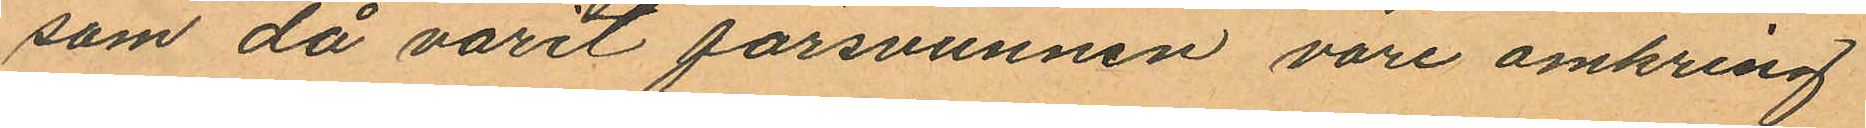som då varit försvunnen vore omkring
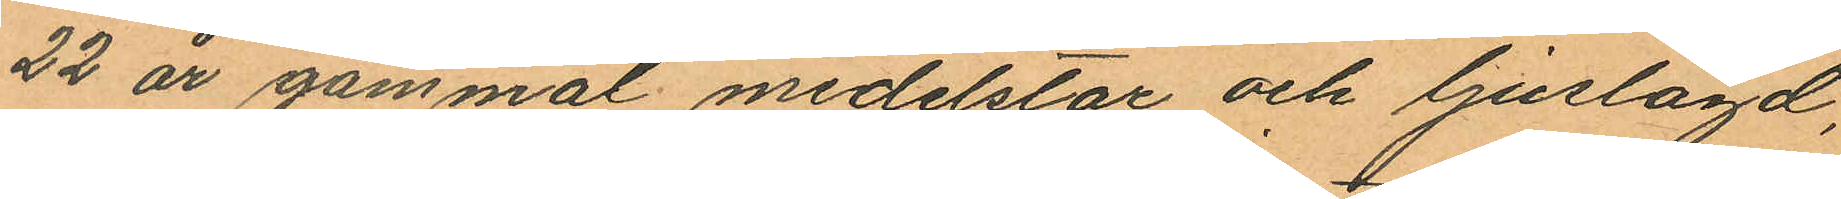22 år gammal medelstor och ljuslagd,
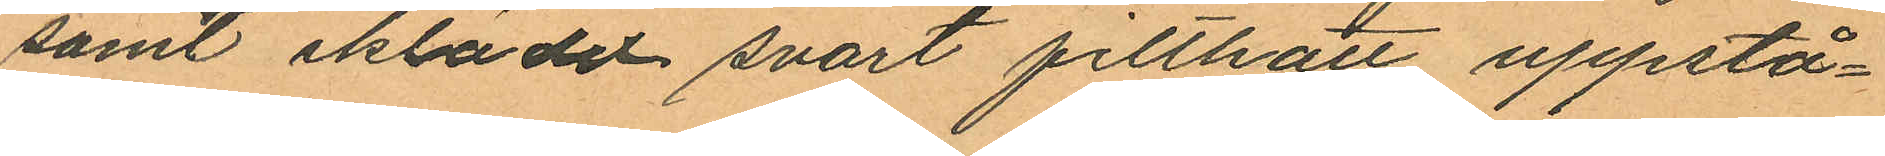samt iklädd svart filthatt, uppstå¬
